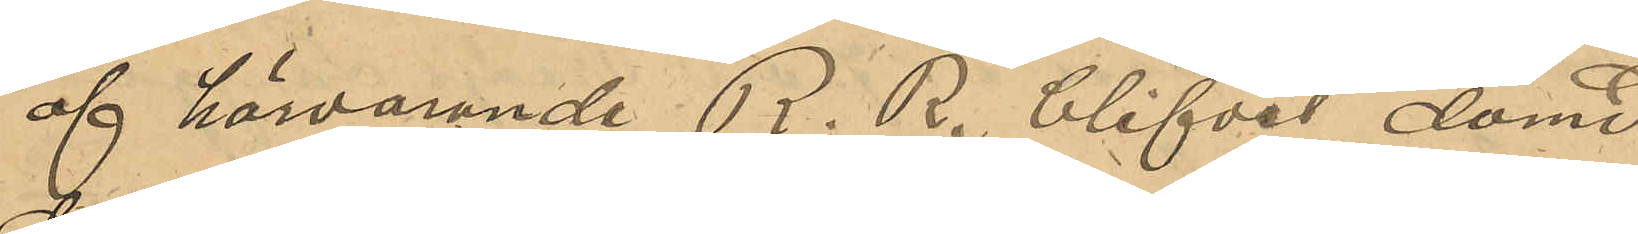af härvarande R.R. blifvit dömd
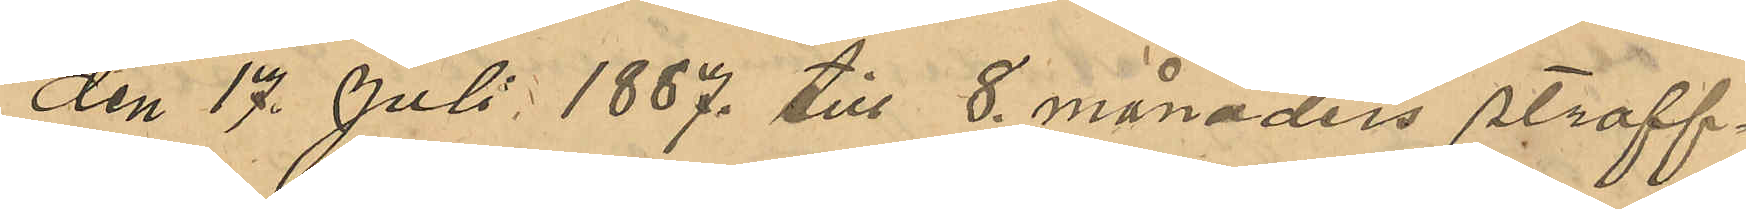den 17 Juli 1887 till 8 månaders straff¬
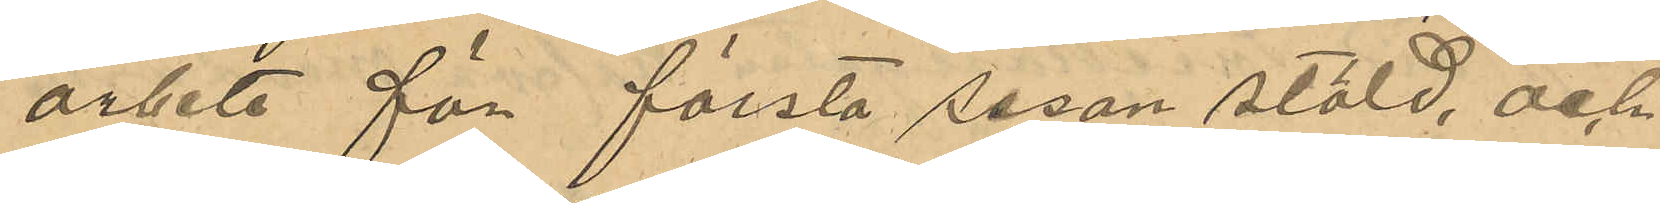arbete för första resan stöld, och
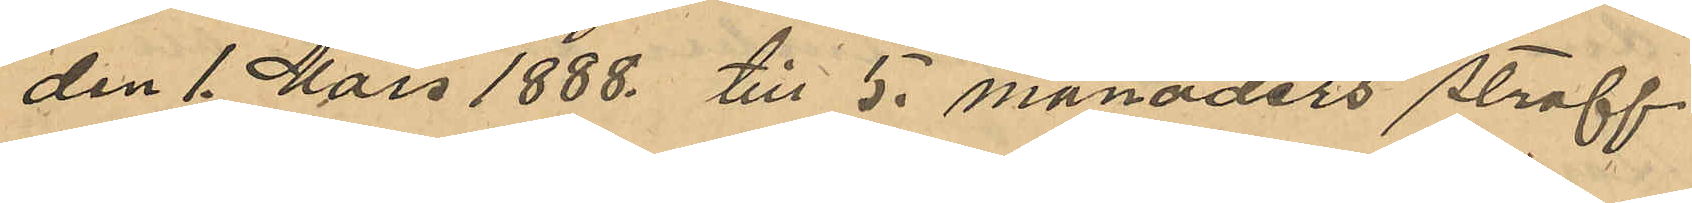den 1 Mars 1888 till 5 månaders straff¬
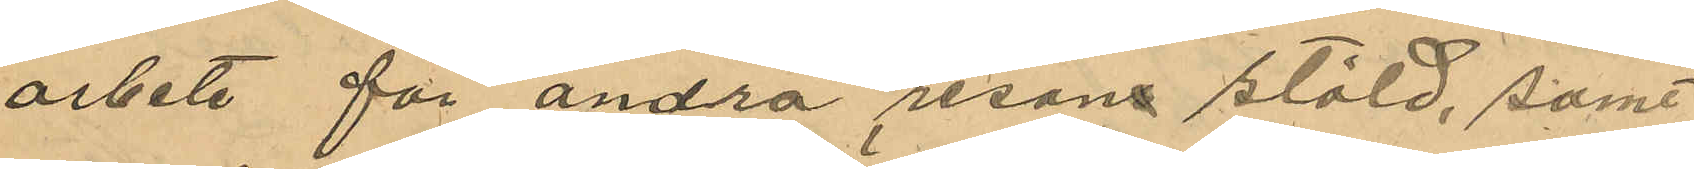arbete för andra resans stöld, samt
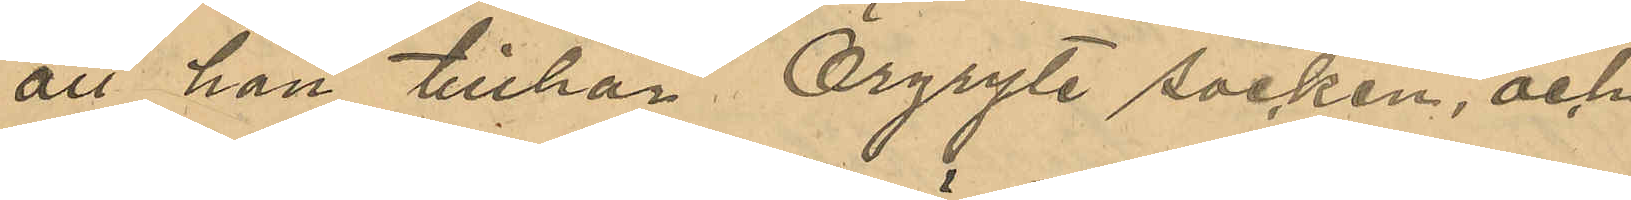att han tillhör Örgryte socken, och
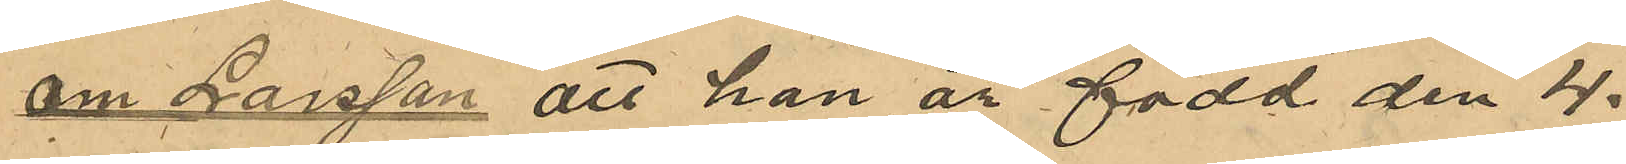om Larsson att han är född den 4.
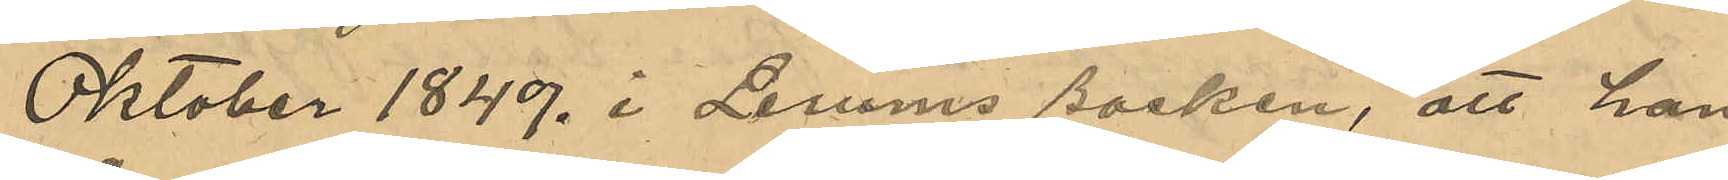Oktober 1849. i Lerums socken, att han
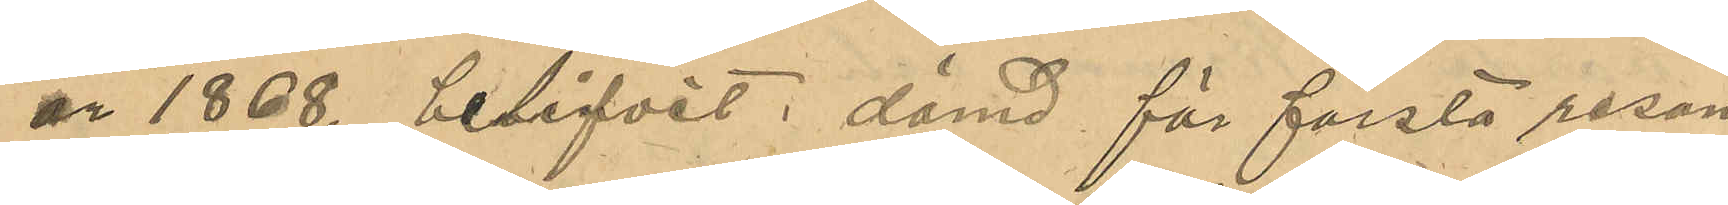år 1868. blifvit dömd för första resan
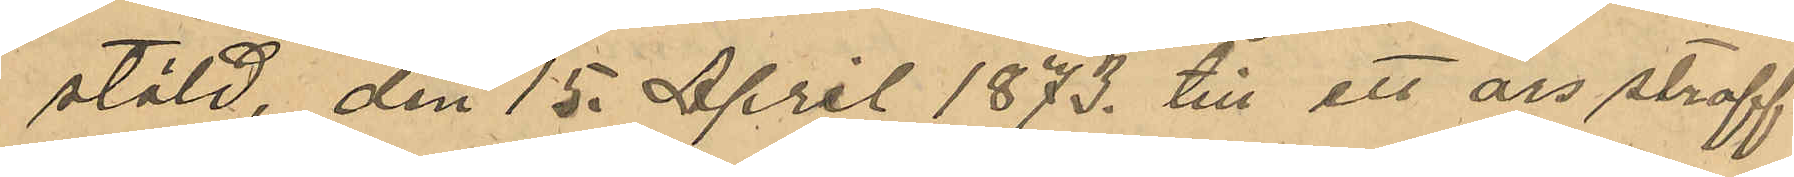stöld, den 15. April 1873. till ett års straff¬
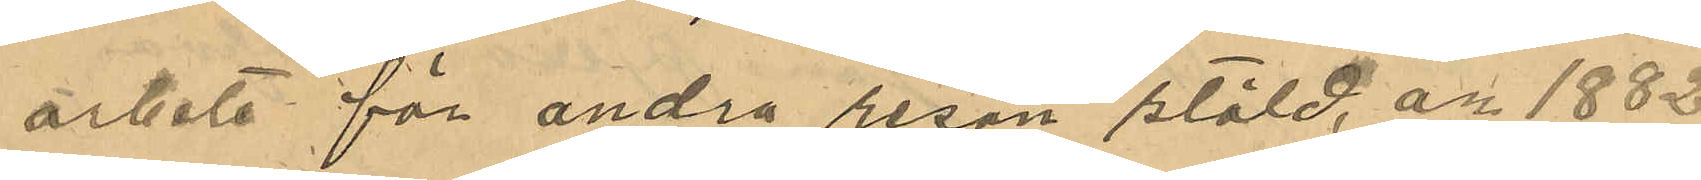arbete för andra resan stöld, år 1882.
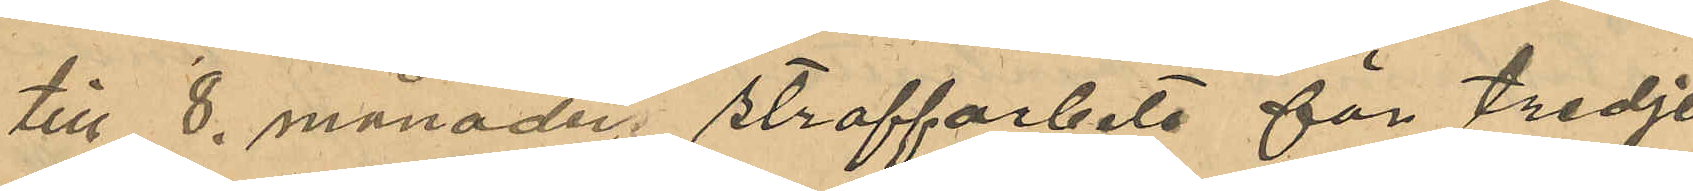till 8. månader straffarbete för tredje
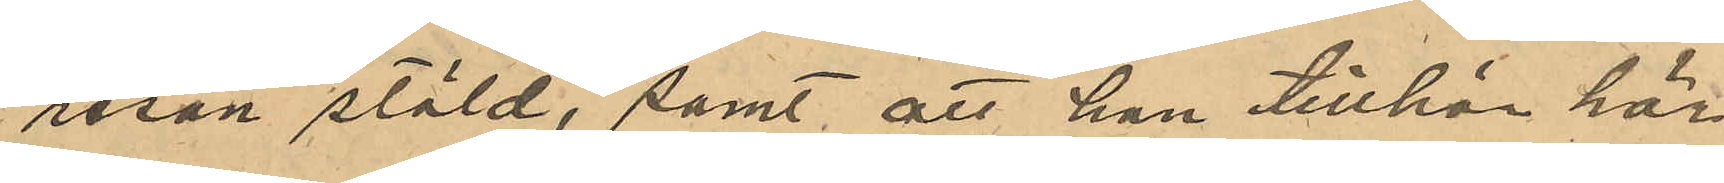resan stöld, samt att han tillhör här¬
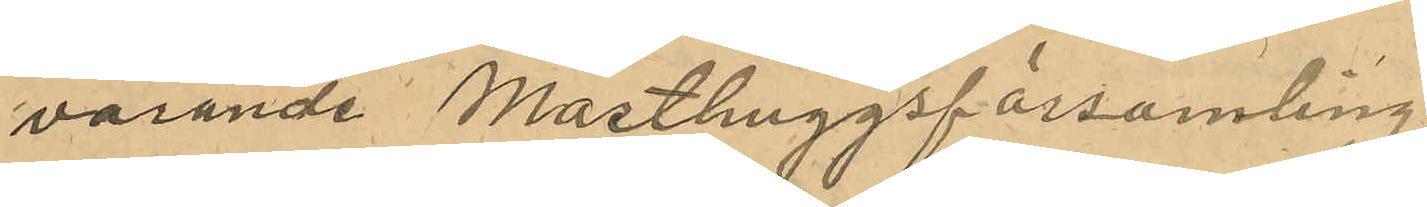varande Masthuggsförsamling.
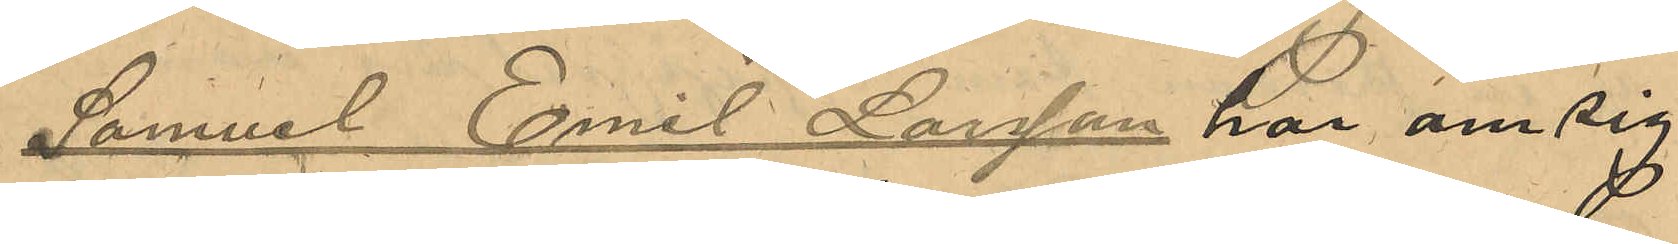Samuel Emil Larsson har om sig
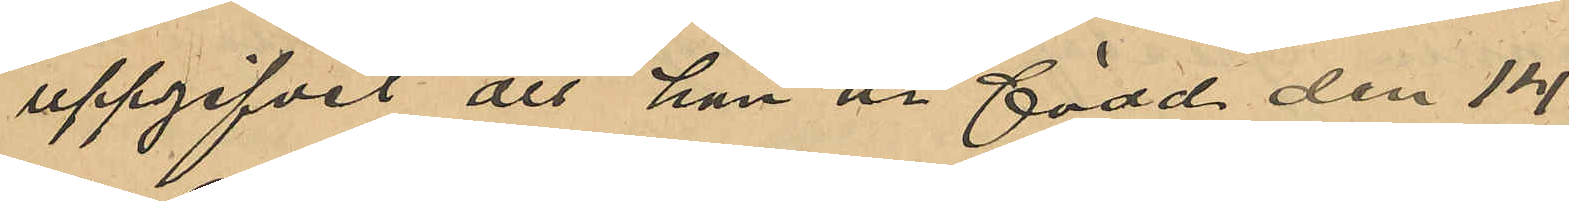uppgifvit att han är född den 14.
